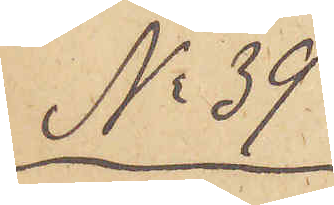No 39
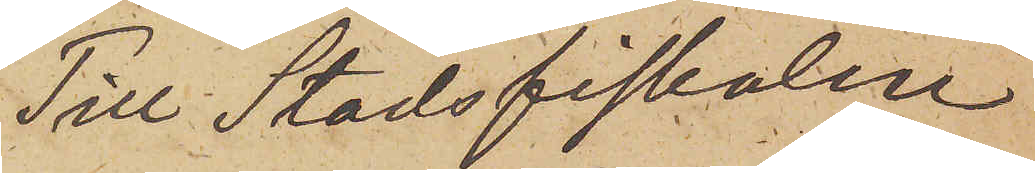Till Stadsfiskalen
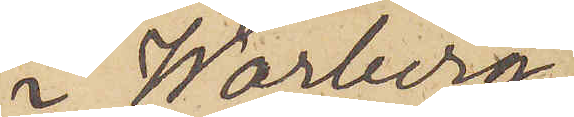i Warberg.
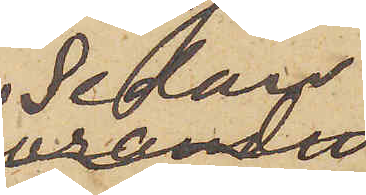Sedan
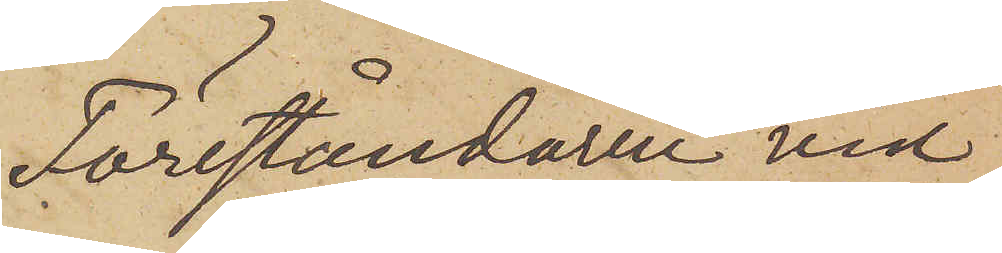Föreståndaren vid
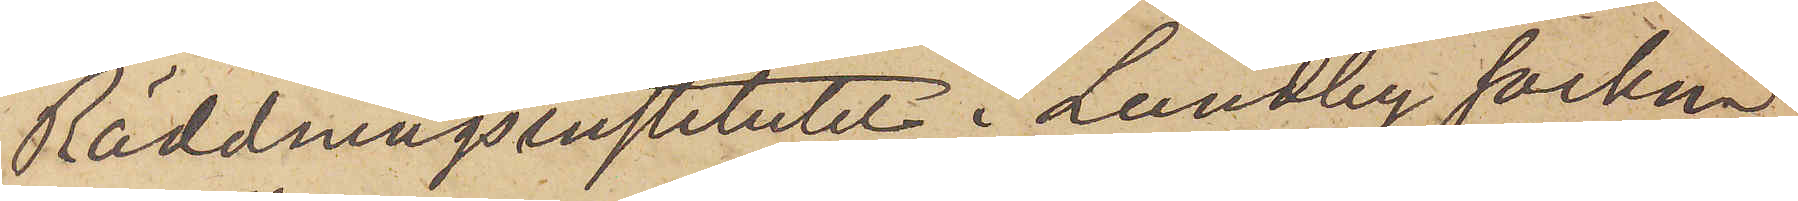Räddningsinstitutet i Lundby socken
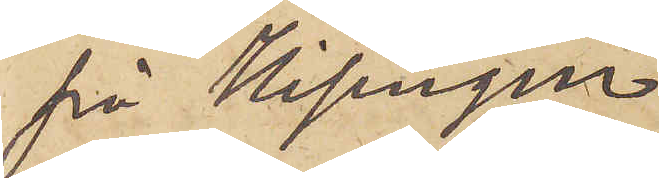på Hisingen
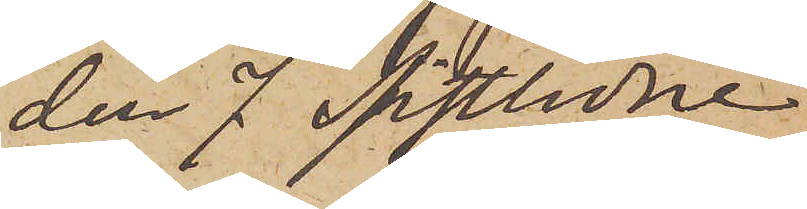den 7 sistlidne
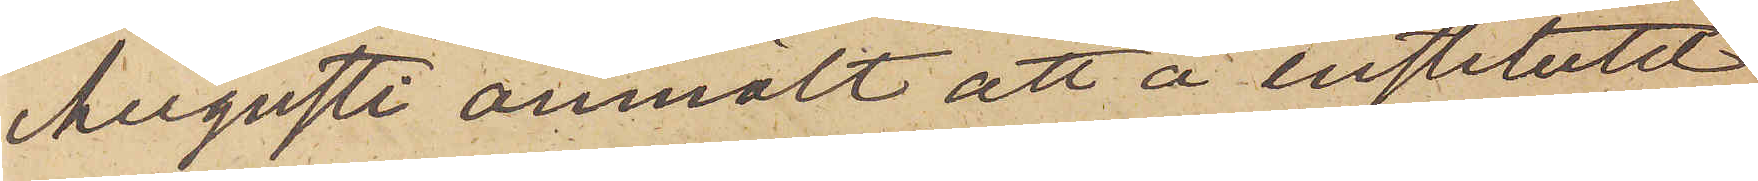Augusti anmält att å Institutet
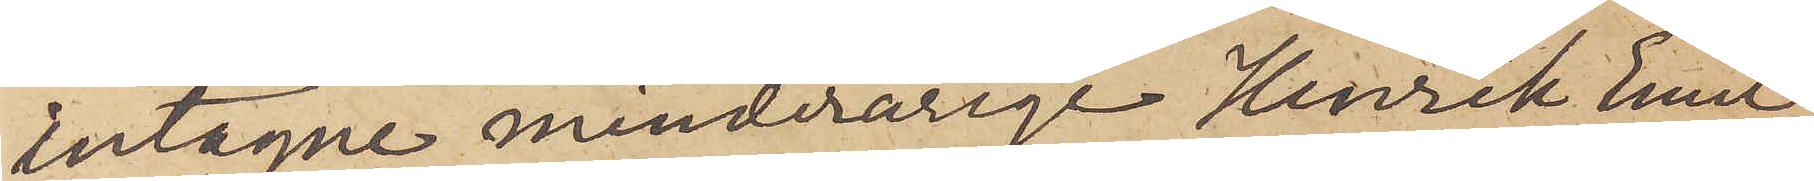intagne minderårige Henrik Emil
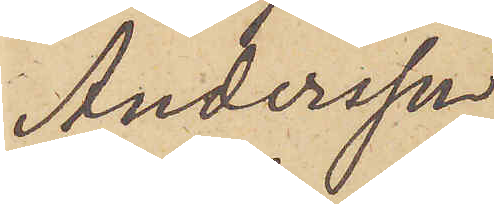Andersson
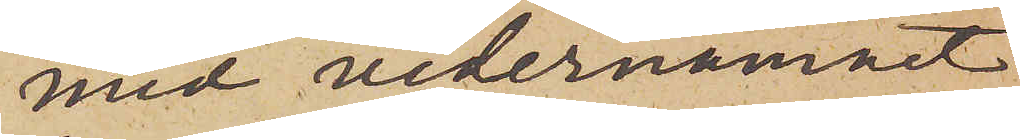med vedernamnet
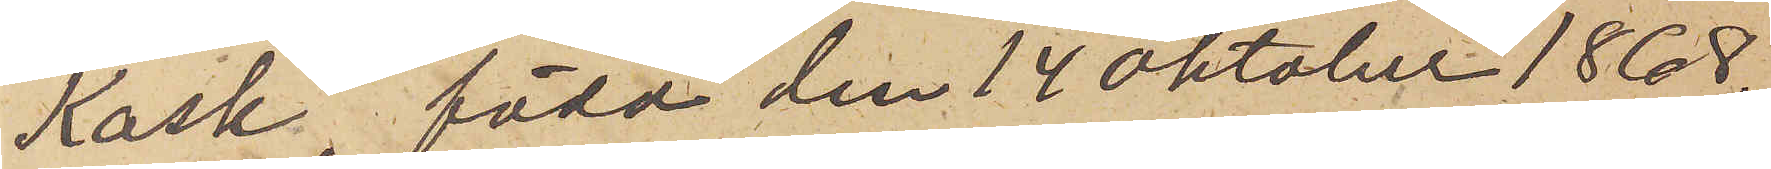Kask, född den 14 Oktober 1868,
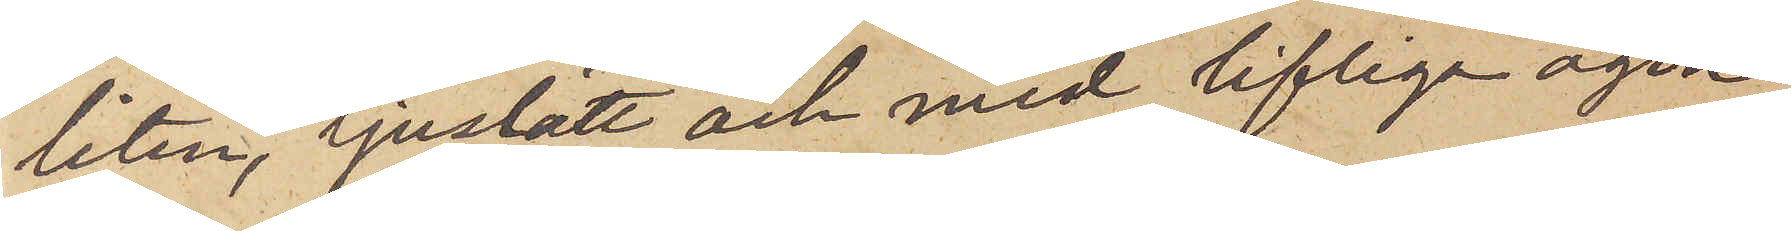liten, ljuslätt och med lifliga ögon,
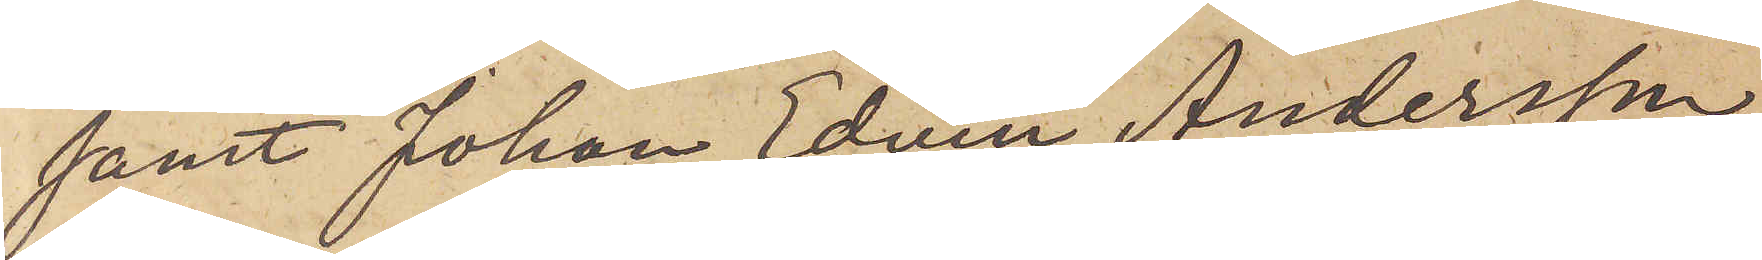samt Johan Edvin Andersson
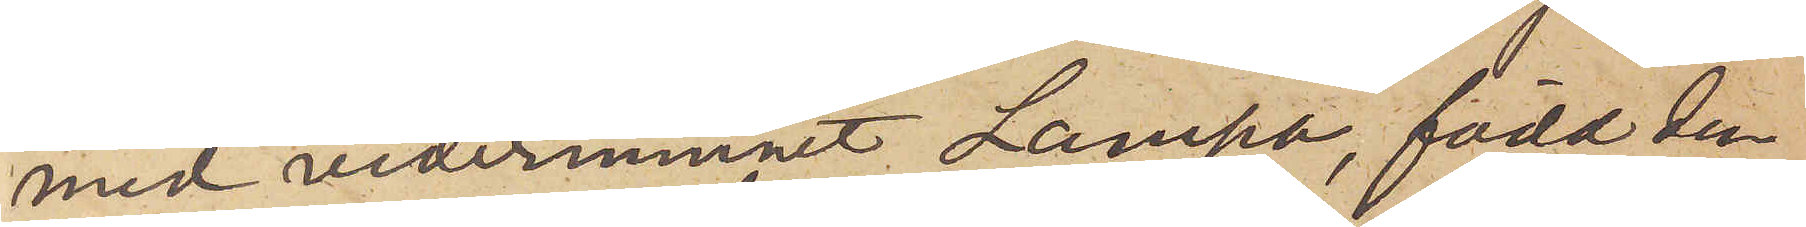med vedernamnet Lampa, född den
